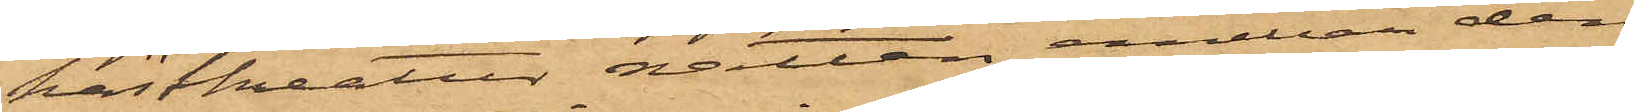hästkreatur natten emellan den
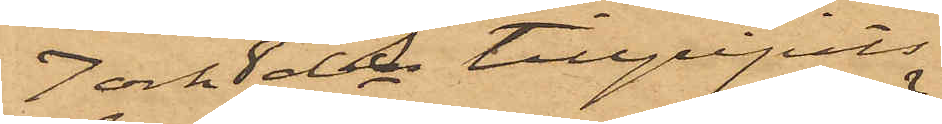7 och 8 ds tillgripits
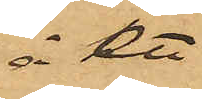å ett
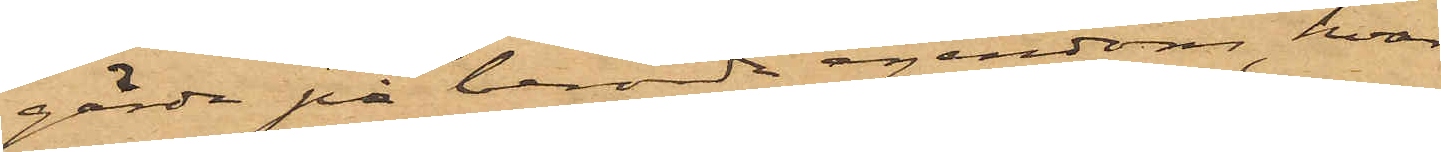gärde på berörda egendom, hvar¬
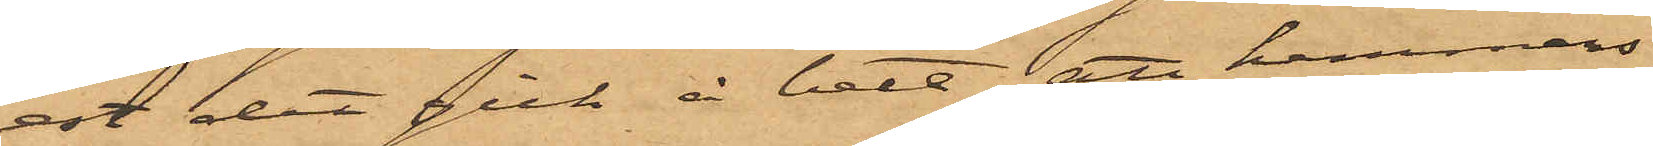ast det gick i bete; att hemmans¬
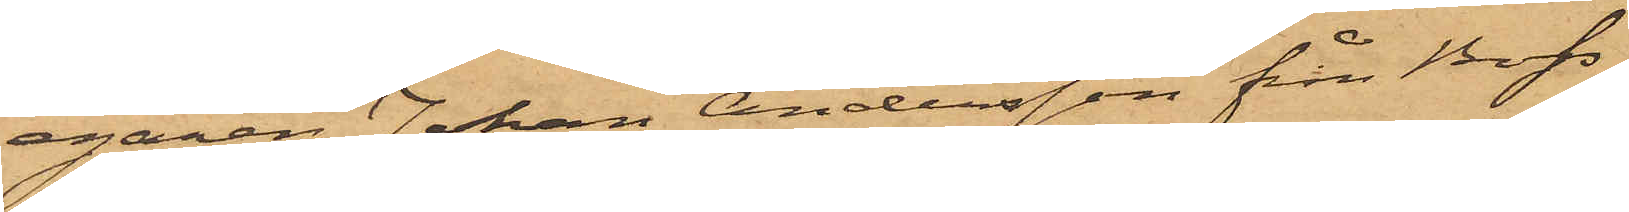egaren Johan Andersson från Bos¬
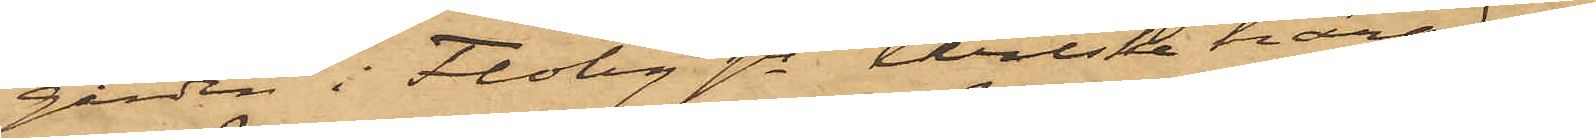gården i Floby sn Wilske härad af
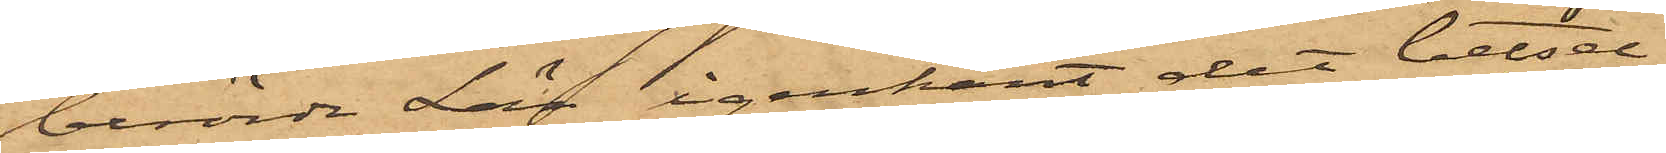berörde Län igenkänt det betsel
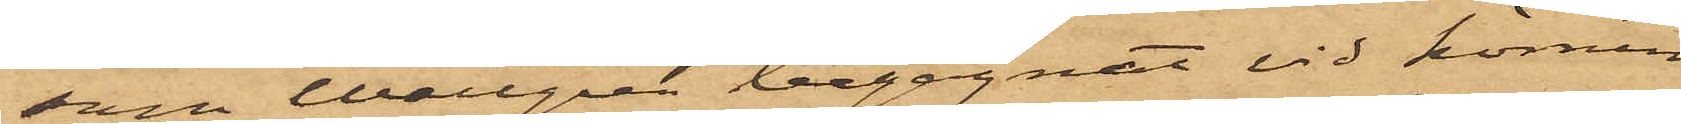som Wallgren begagnat vid körnin¬
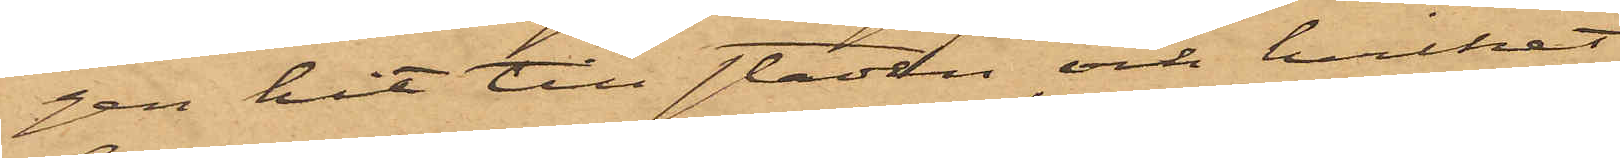gen hit till staden och hvilket
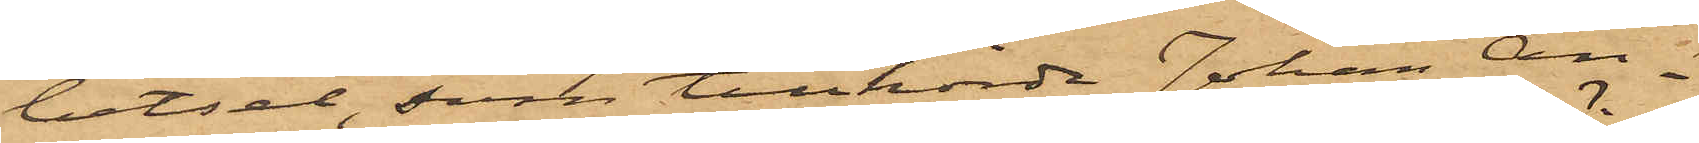betsel, som tillhörde Johan An¬
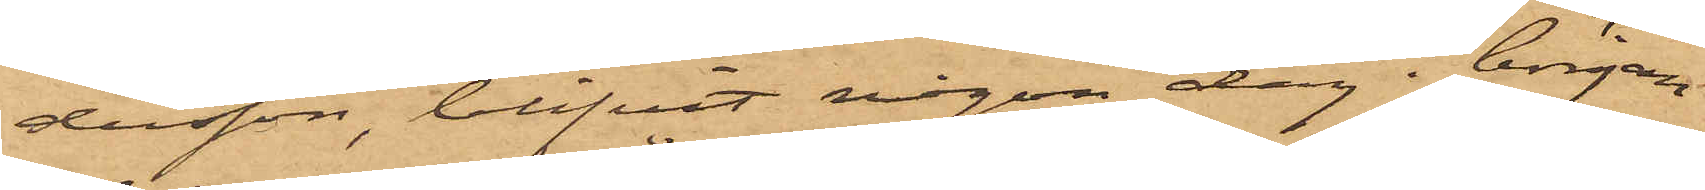dersson, blifvit någon dag i början
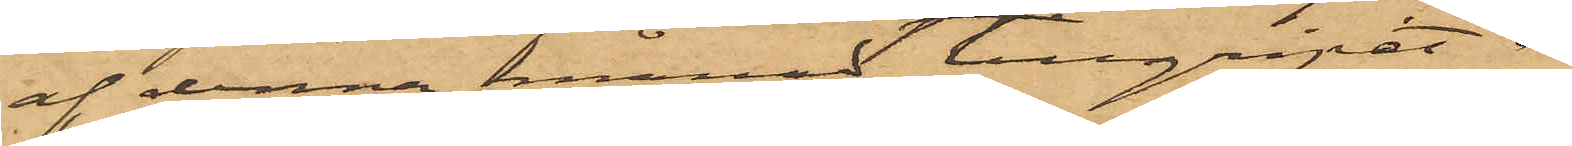af denna månad tillgripet å
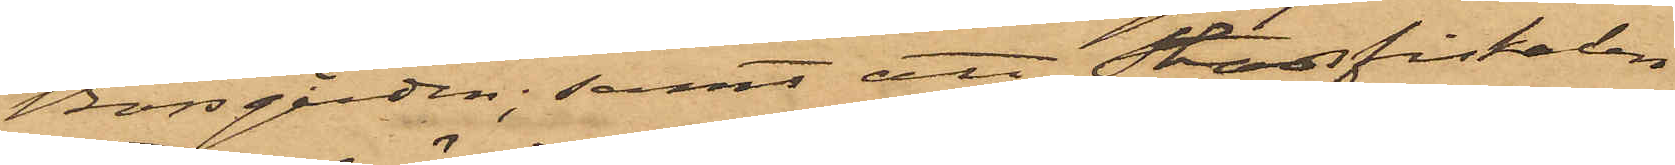Bosgåden; samt att Stadsfiskalen
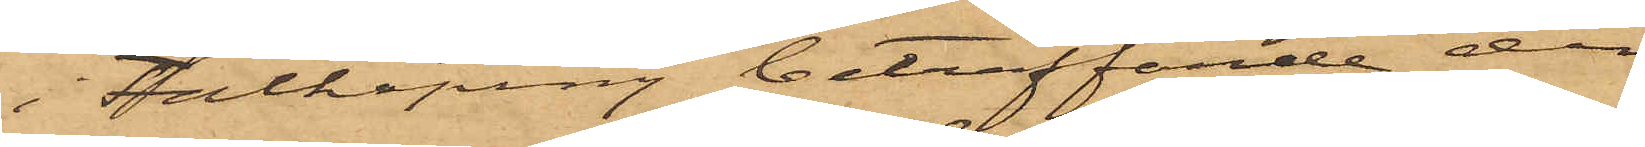i Falköping beträffande den
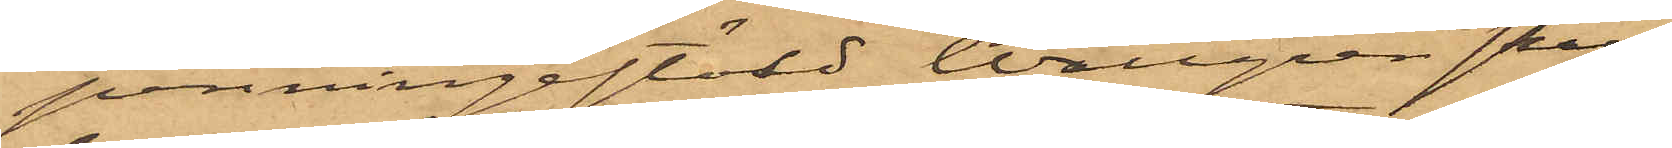penningestöld Wallgren skall
